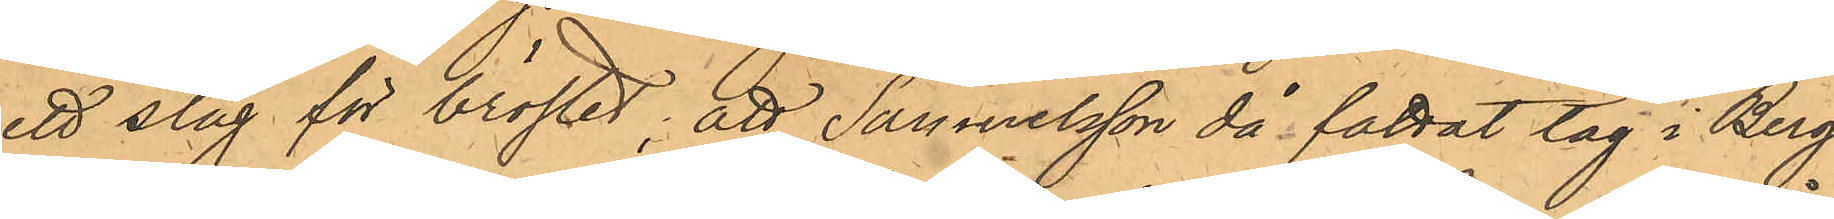ett slag för bröstet; att Samuelsson då fattat tag i Berg¬
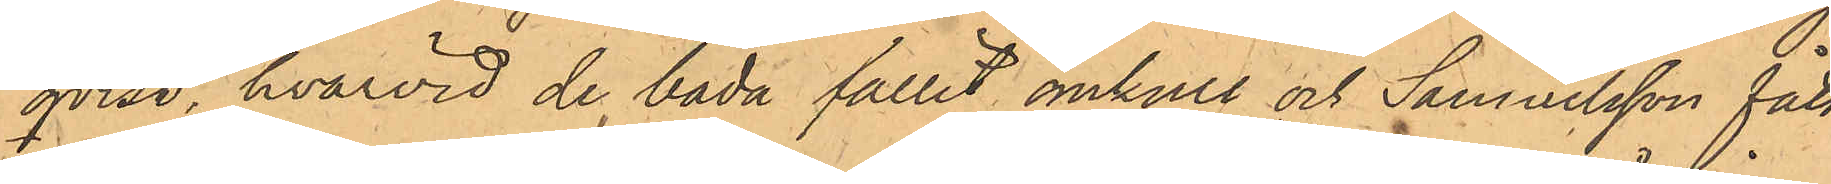qvist, hvarvid de båda fallit omkull och Samuelsson fått
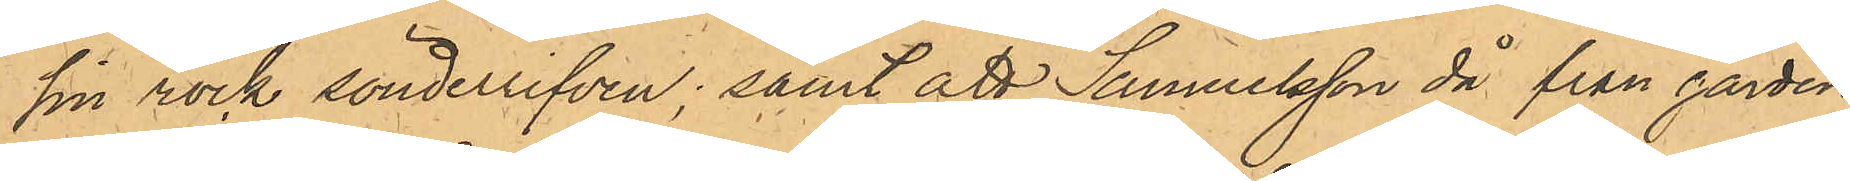sin rock sönderriven; samt att Samuelsson då från gården
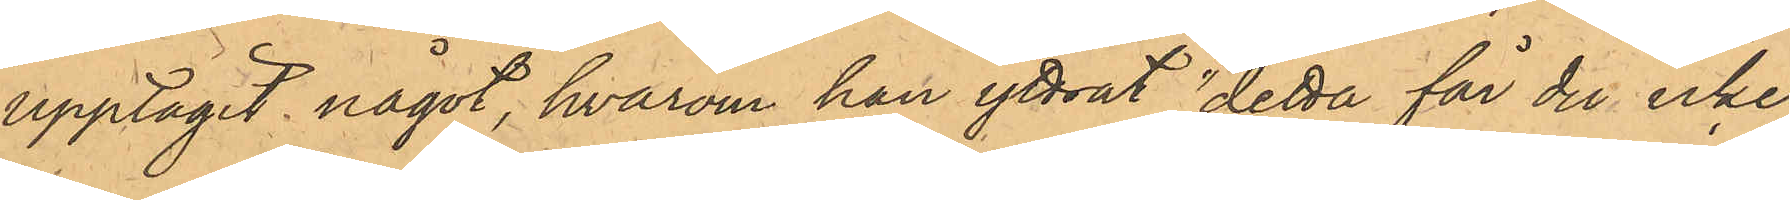upptagit något, hvarom han yttrat "detta får du icke
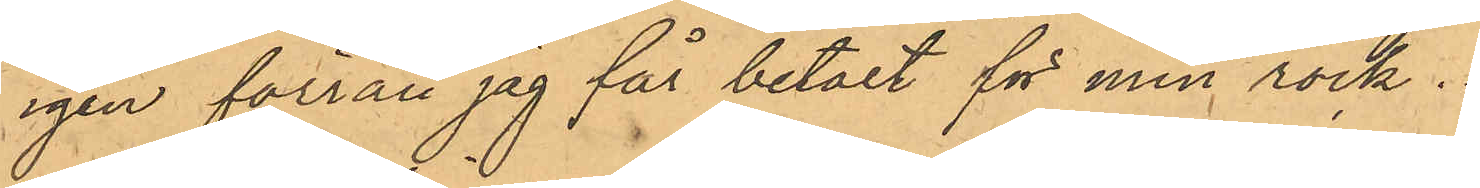igen förrän jag får betalt för min rock.
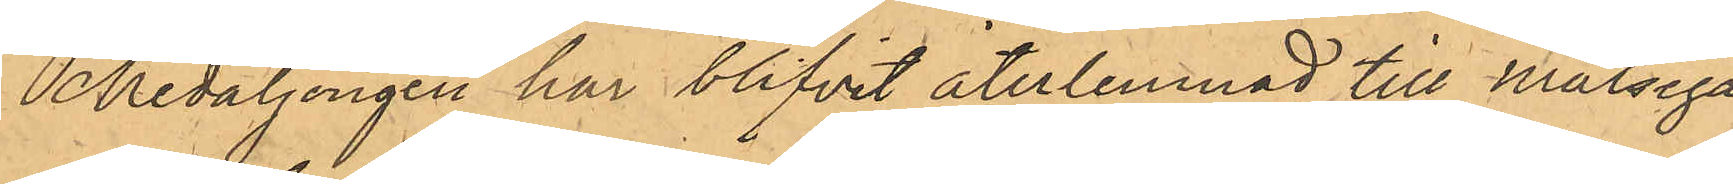Medaljongen har blifvit återlemnad till Målsega¬
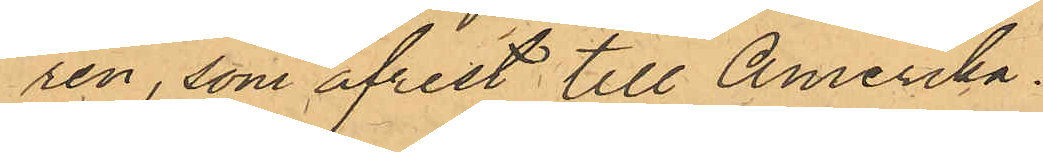ren, som afrest till Amerika.
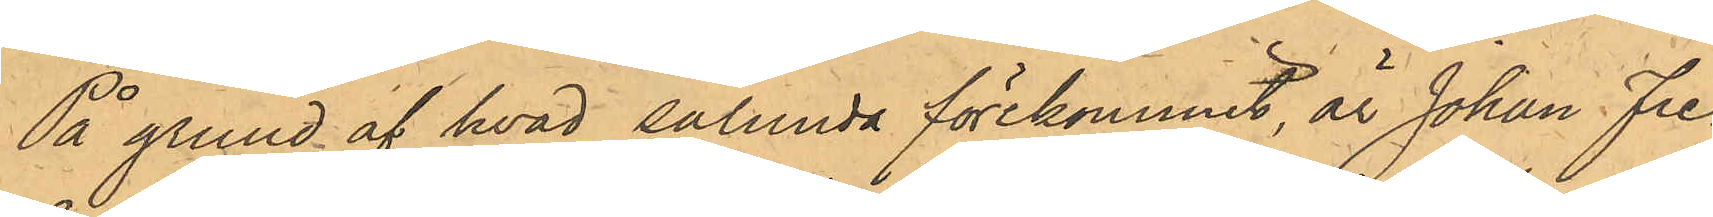På grund af hvad sålunda förekommit, är Johan Fre¬
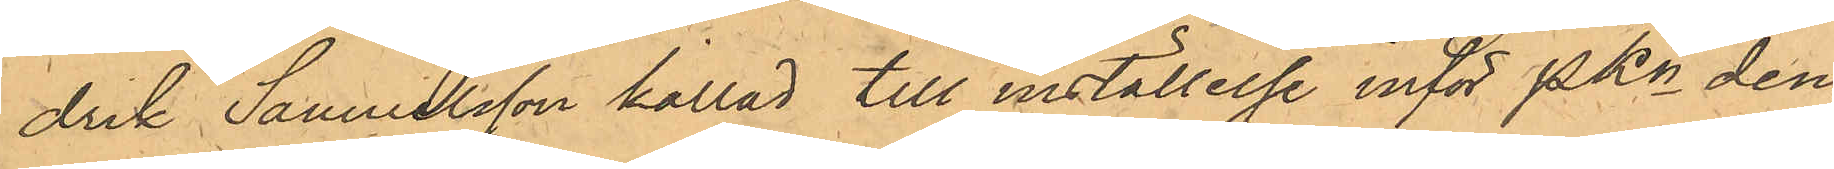drik Samuelsson kallad till inställelse inför PKn den¬
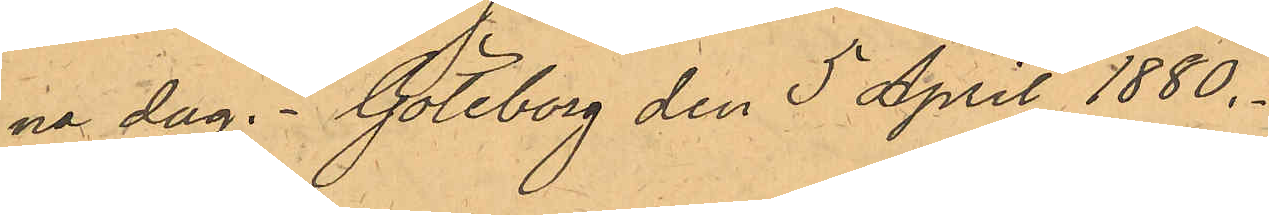na dag. Göteborg den 5 April 1880.
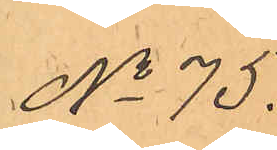No 75.
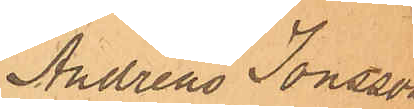Andreas Jonsson
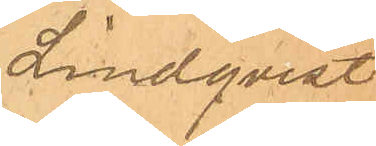Lindqvist
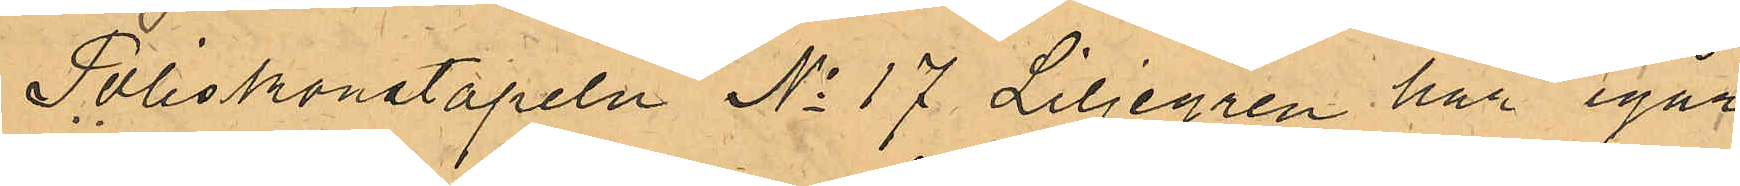Poliskonstapeln No 17 Liljegren har igår
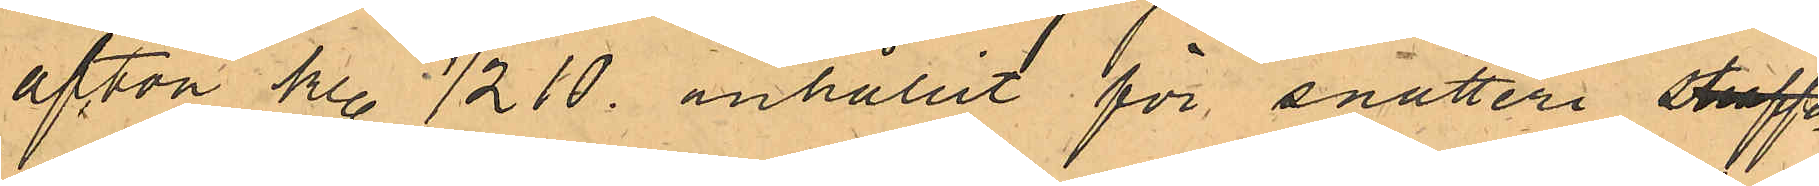afton kl. 1/2 10. anhållit för snatteri straffa
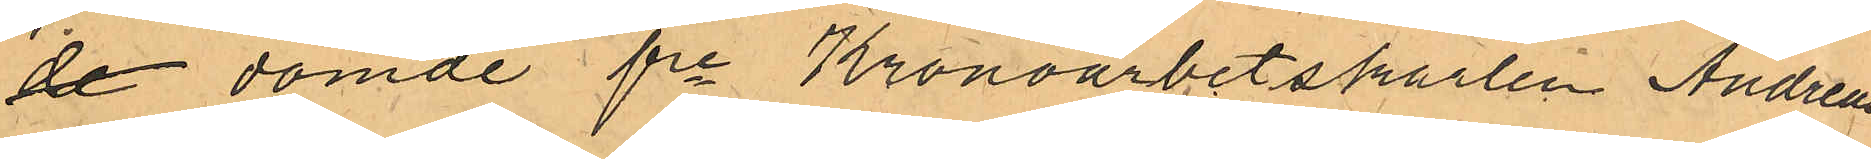de dömde fre Kronoarbetskarlen Andreas
